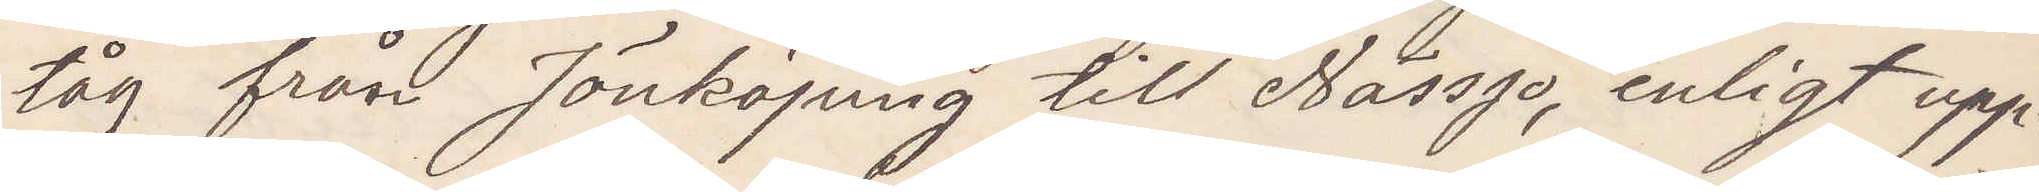tåg från jönköping till Nässjö, enligt upp¬
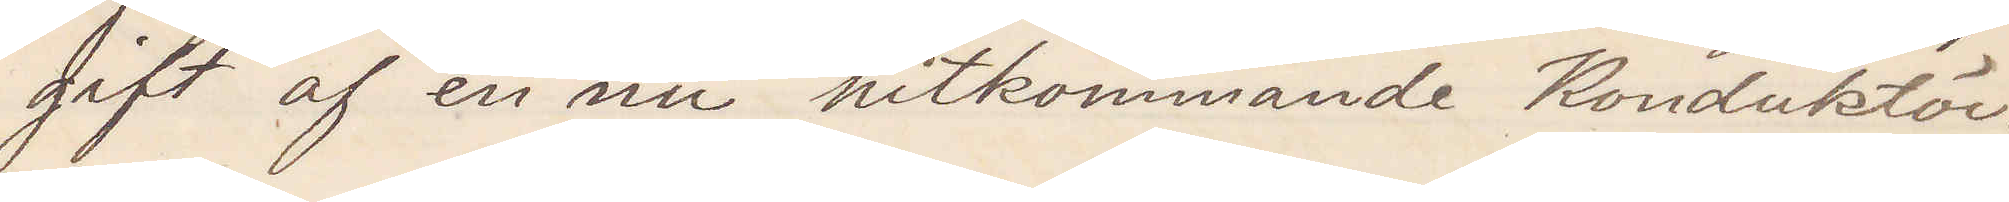gift af en nu hitkommande Konduktör.
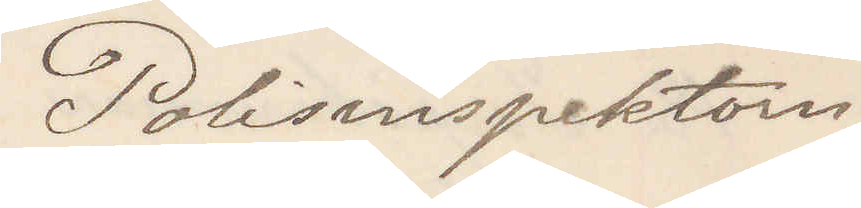Polisinspektorn
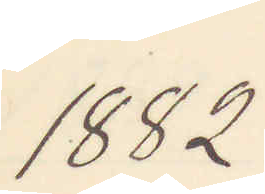1882
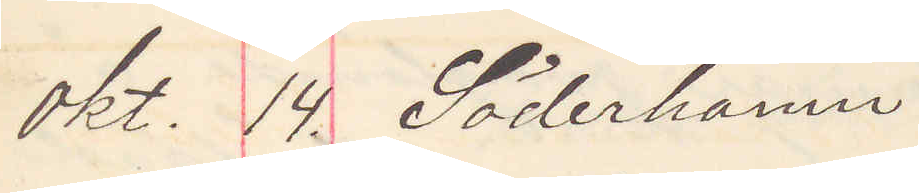okt. 14. Söderhamn
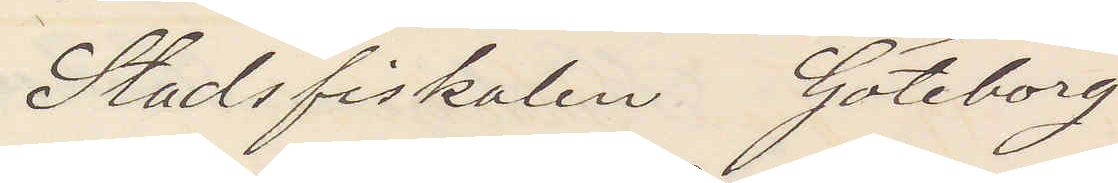Stadsfiskalen Göteborg
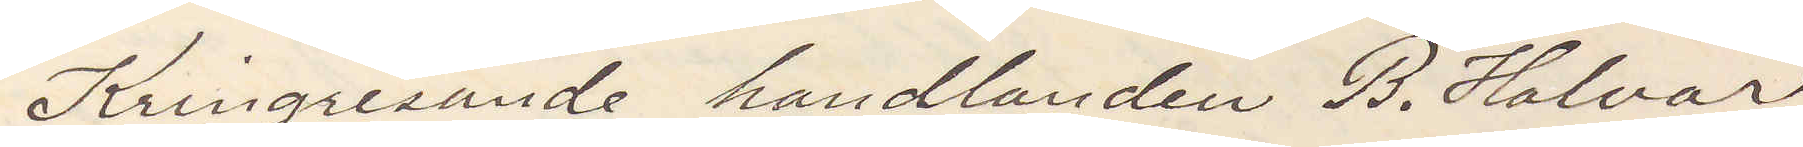Kringresande handlanden B. Halvar
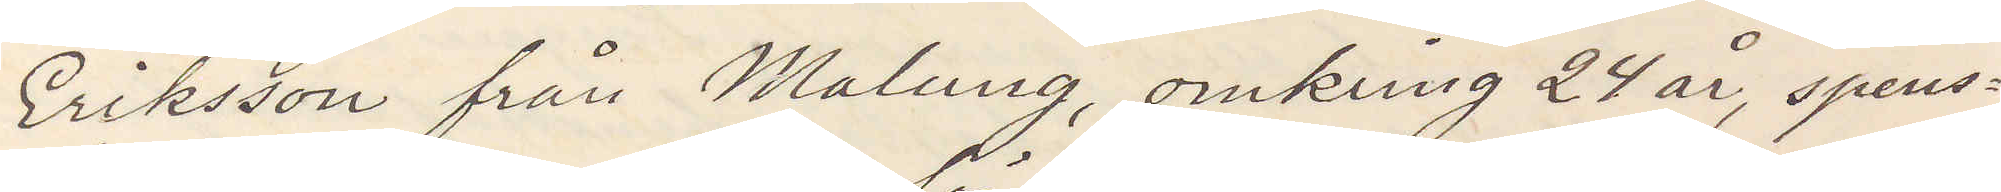Eriksson från Malung, omkring 24 år, spens¬
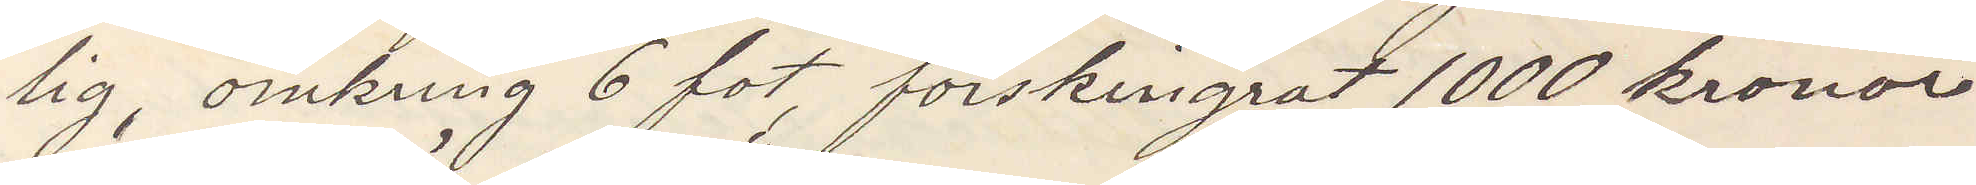lig, omkring 6 fot, förskingrat 1000 kronor
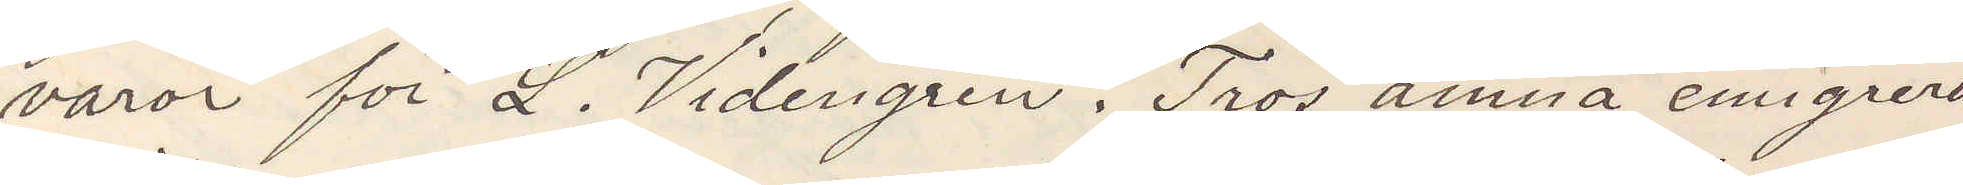varor för L. Videngren. Tros ämna emigrera.
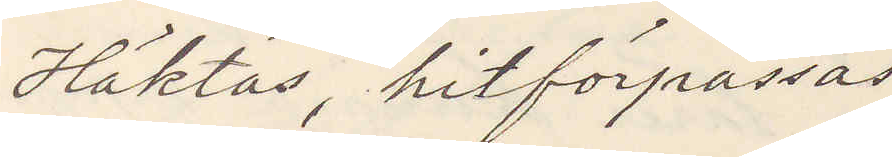Häktas, hitförpassas
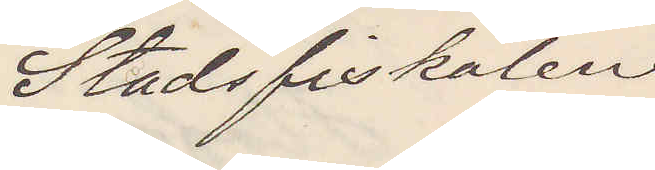Stadsfiskalen
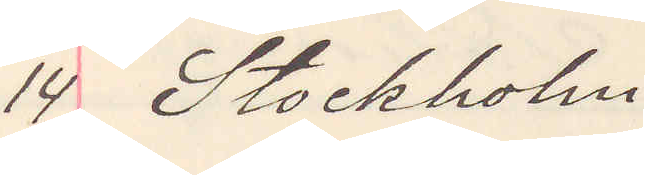14 Stockholm
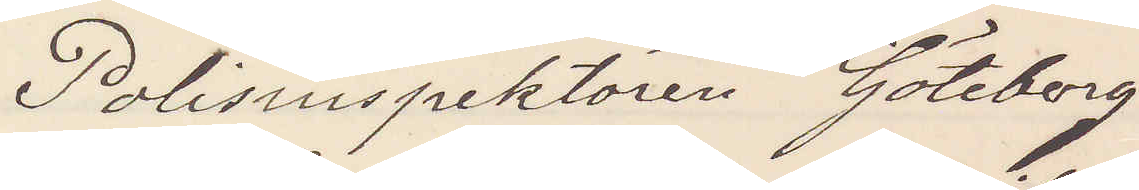Polisinspektören Göteborg
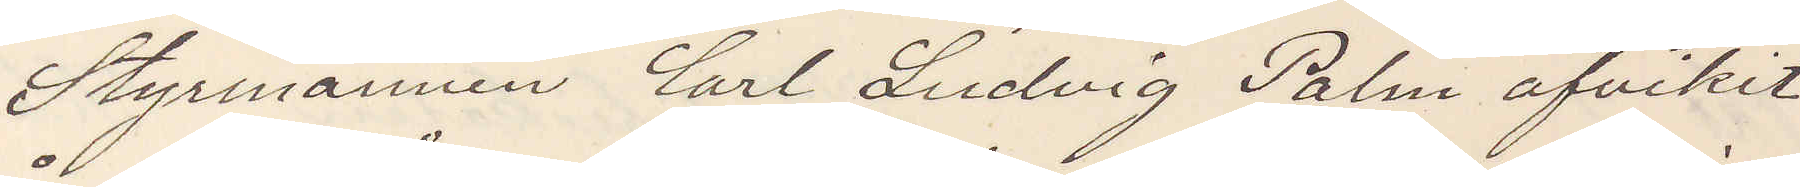Styrmannen Carl Ludvig Palm afvikit
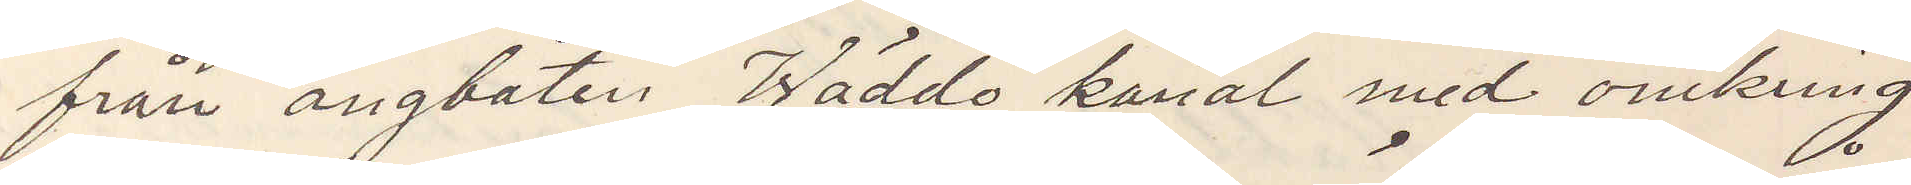från ångbåten Wäddö kanal med omkring
